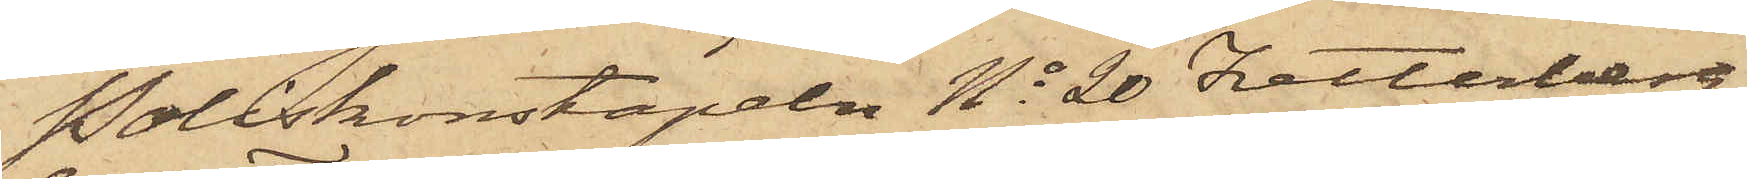Poliskonstapeln No 20 Zetterberg
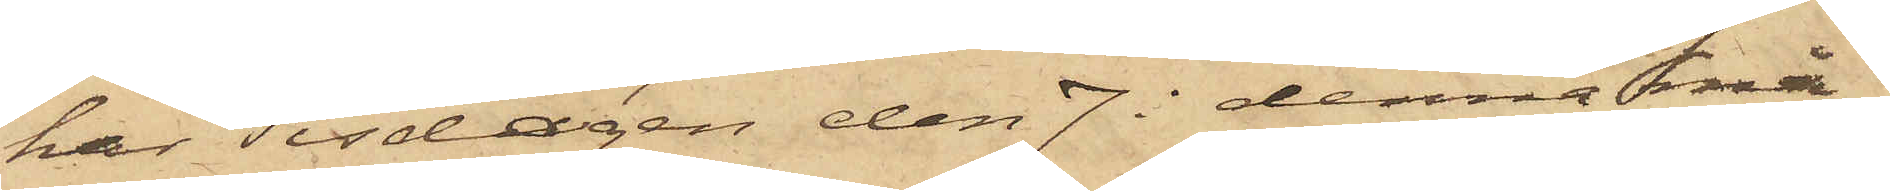har Tisdagen den 7 i denna må¬
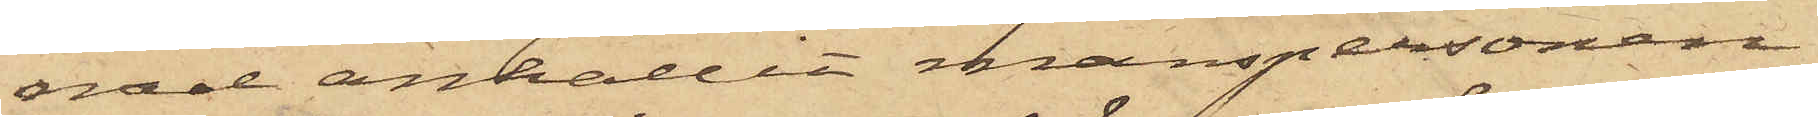nad anhållit manspersonen
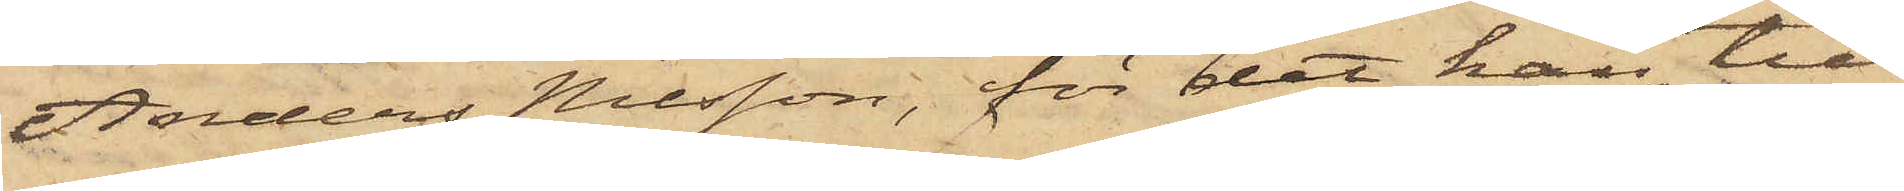Anders Nilsson, för det han till
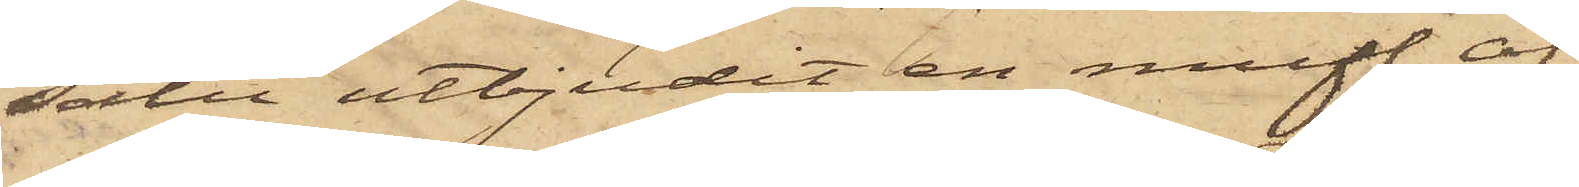salu utbjudit en muff af
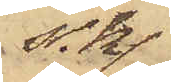s.k.
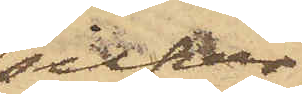silfver¬
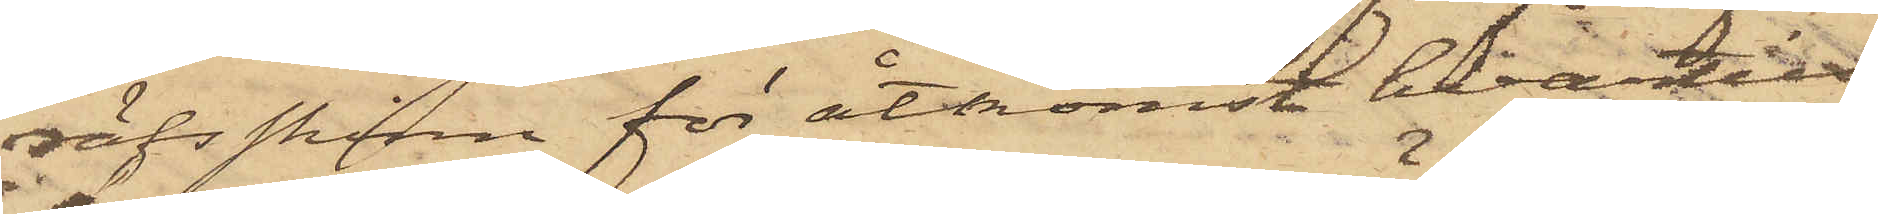räfsskinn för åtkomst hvartill
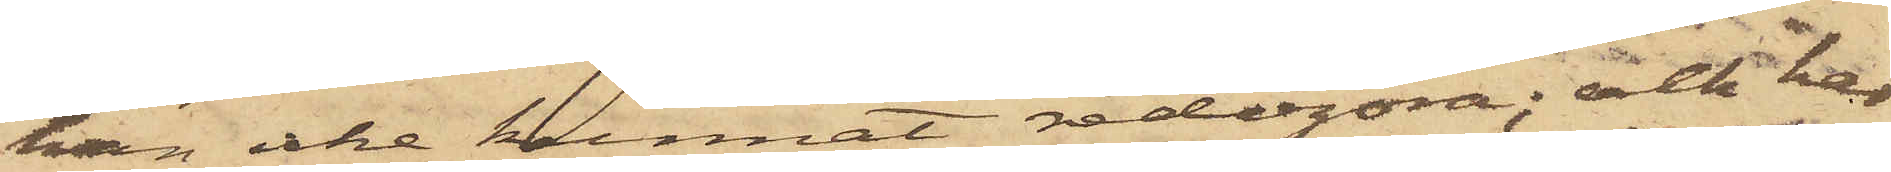han icke kunnat redogöra; och har
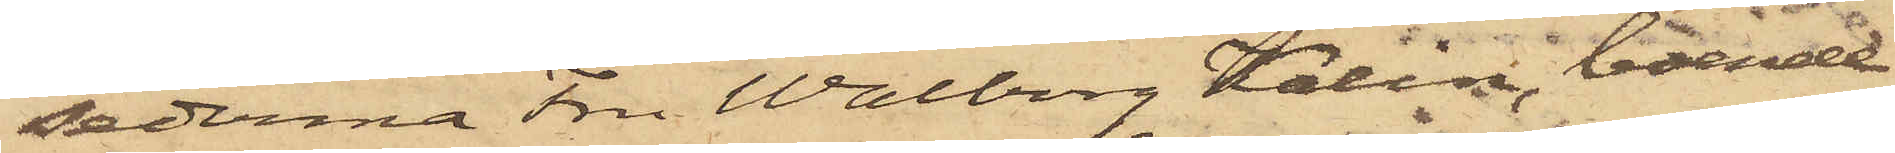sederma Fru Walborg Kalin, boende
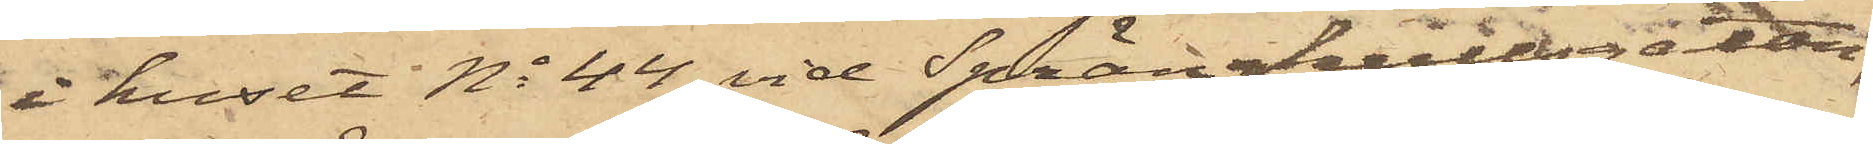i huset No 44 vid Sprängkullsgatan,
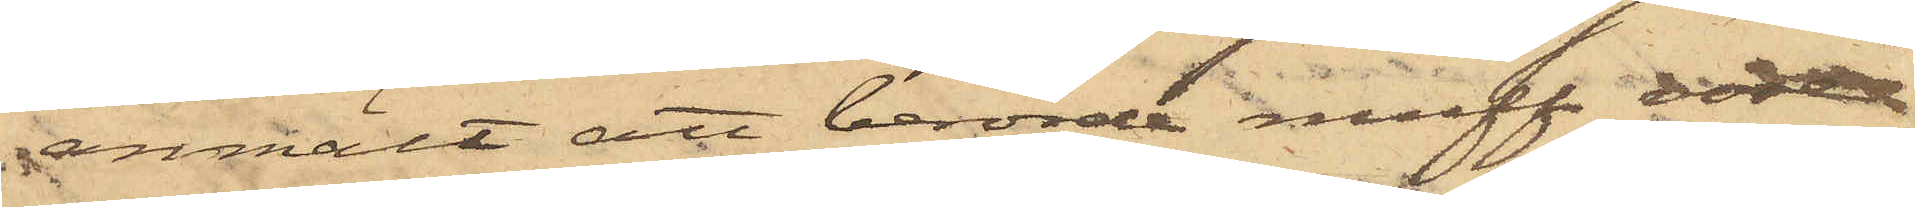anmält att berörde muff vore
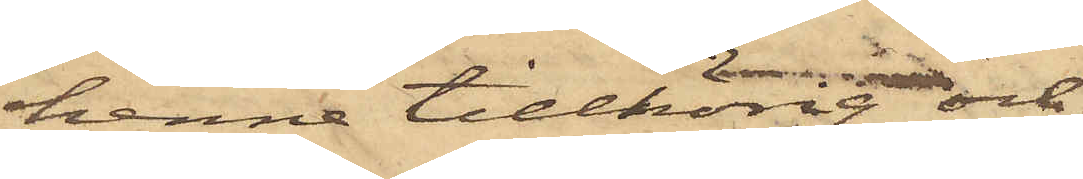henne tillhörig och
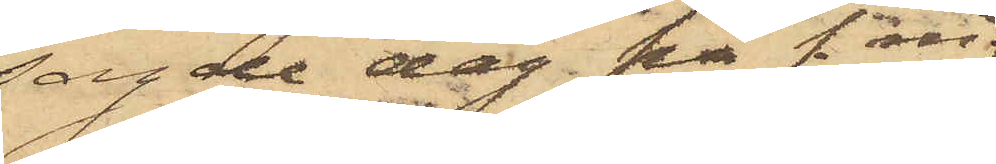sagde dag på f. m.
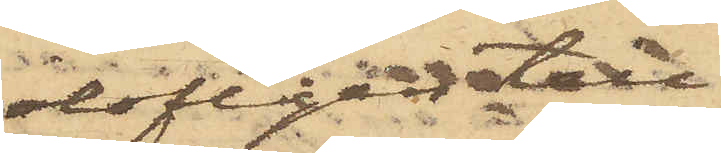olofligen till¬
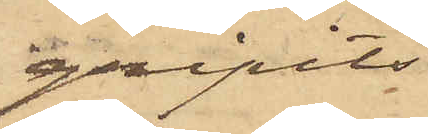gripits
